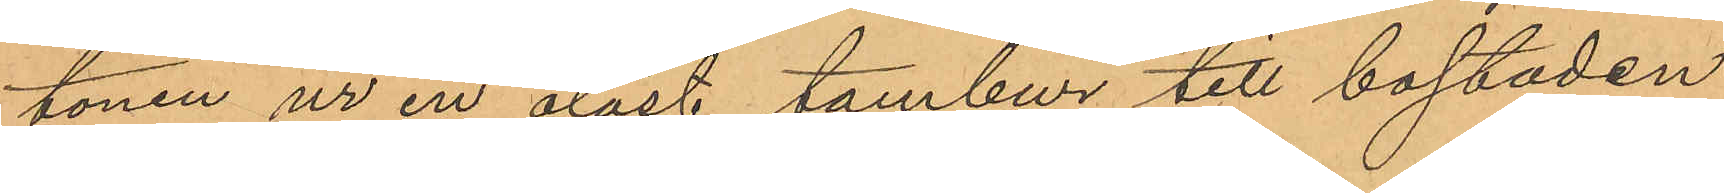tonen ur en olåst tambur till bostaden
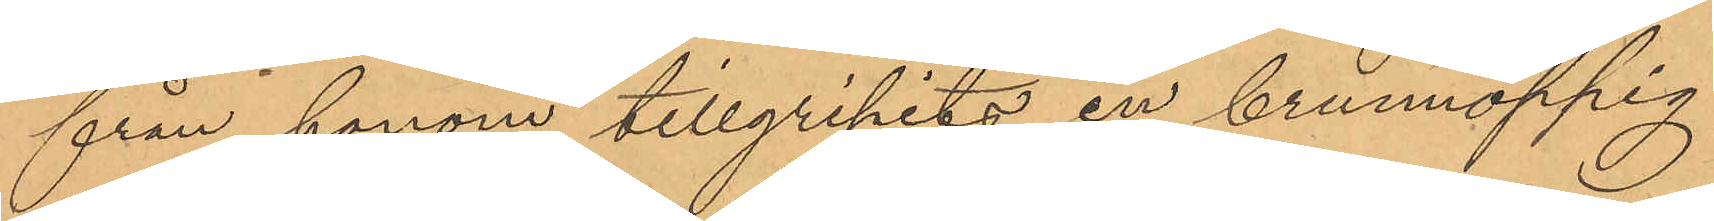från honom tillgripits en brunnoppig
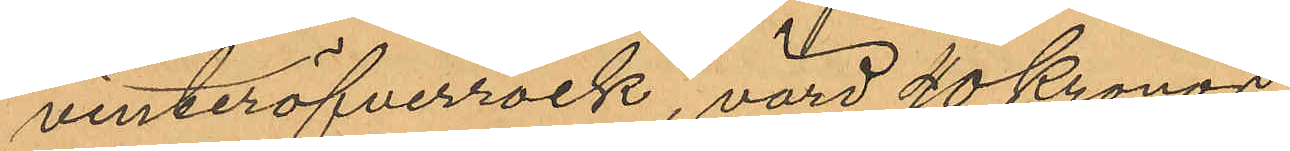vinteröfverrock, värd 40 Kronor.
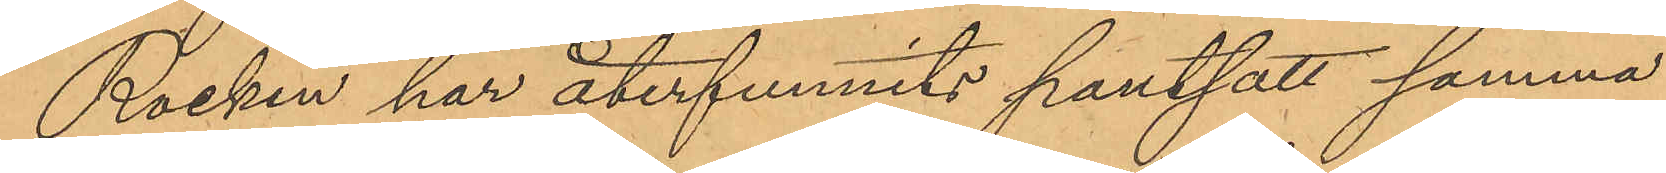Rocken har återfunnits pantsatt samma
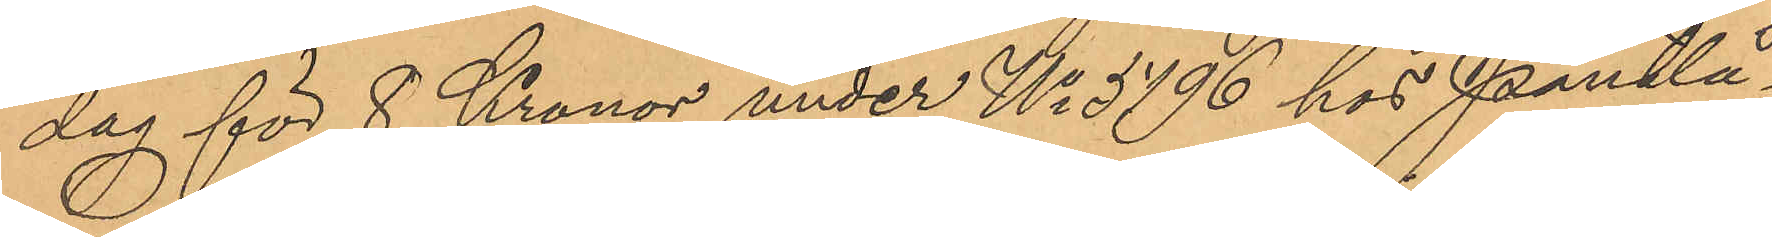dag för 8 Kronor under No 5196 hos Pantlå¬
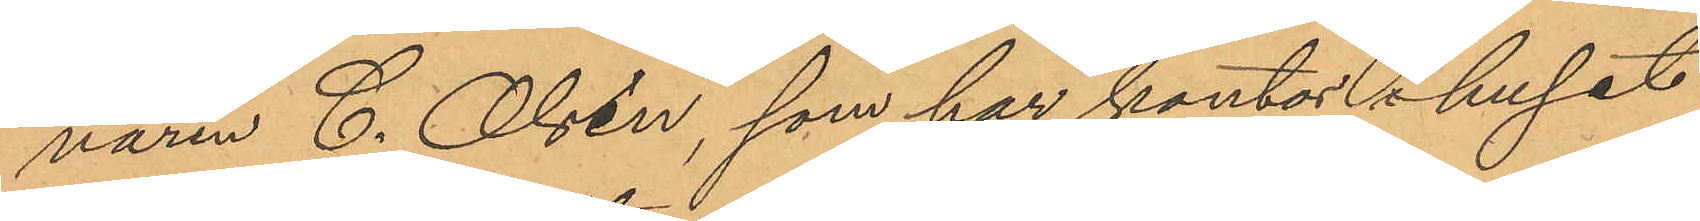naren C. Olsén, som har kontor i huset
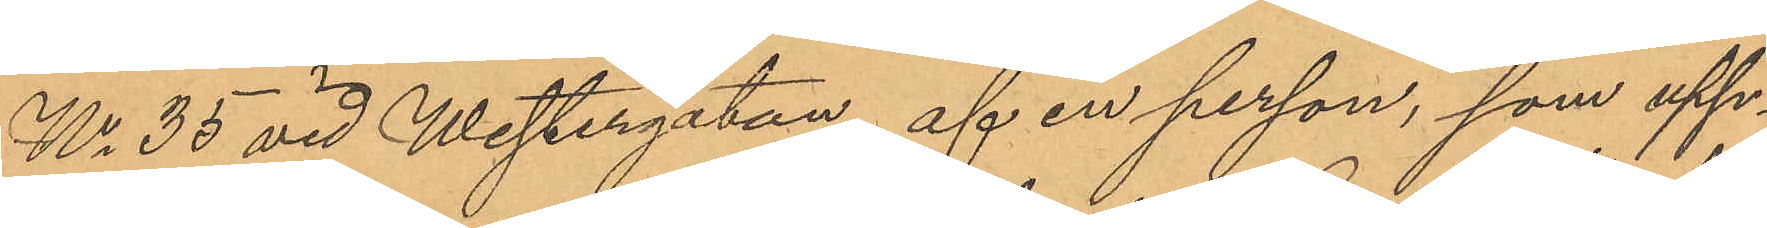No 35 vid Westergatan, af en person, som upp¬
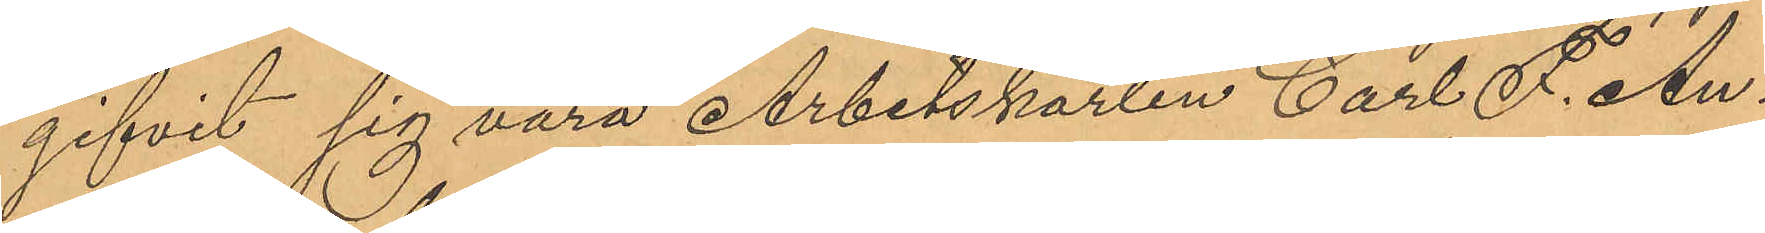gifvit sig vara Arbetskarlen Carl F. An¬
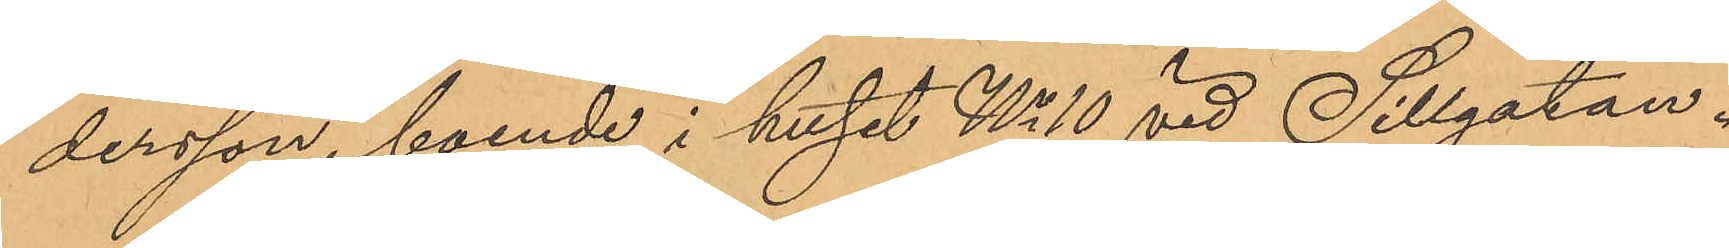dersson, boende i huset No 10 vid Sillgatan.
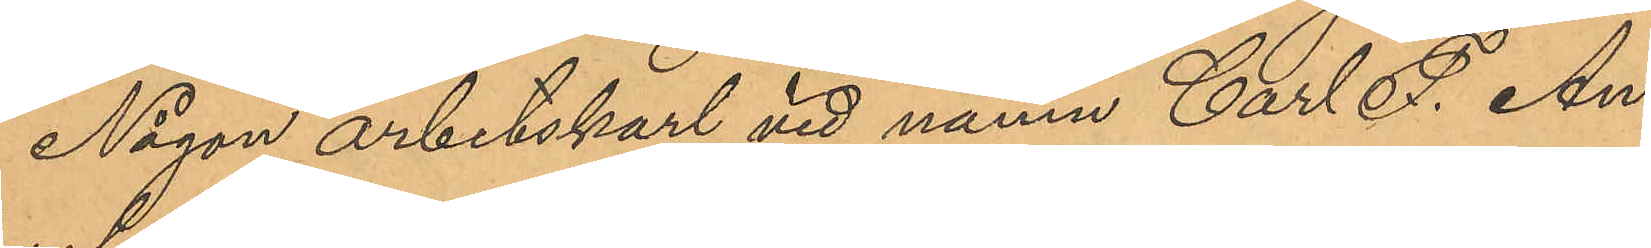Någon arbetskarl vid namn Carl F. An¬
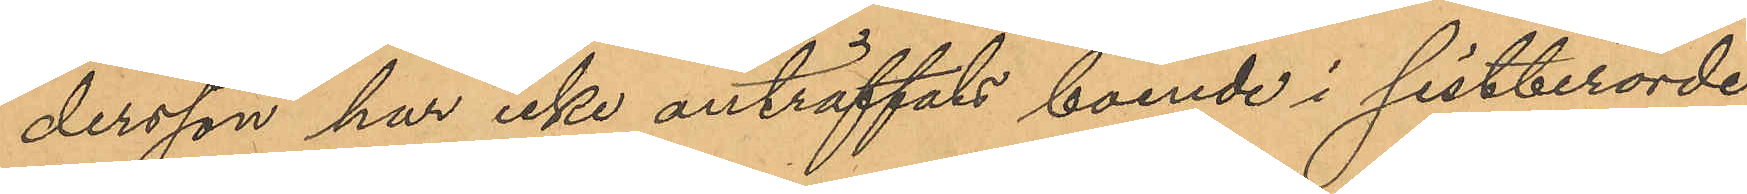dersson har icke anträffats boende i sistberörde
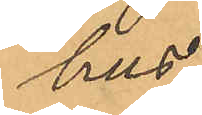hus.
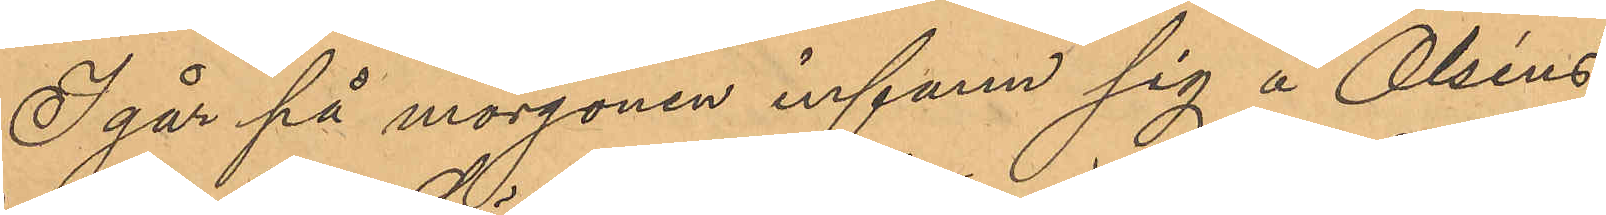I går på morgonen infann sig å Olséns
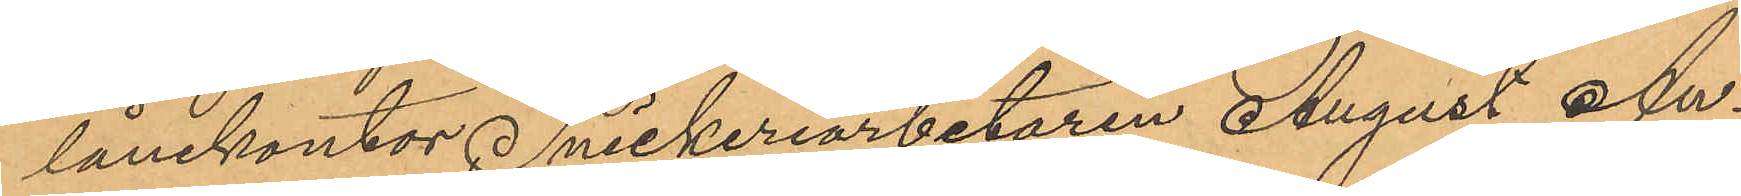lånekontor Snickeriarbetaren August An¬
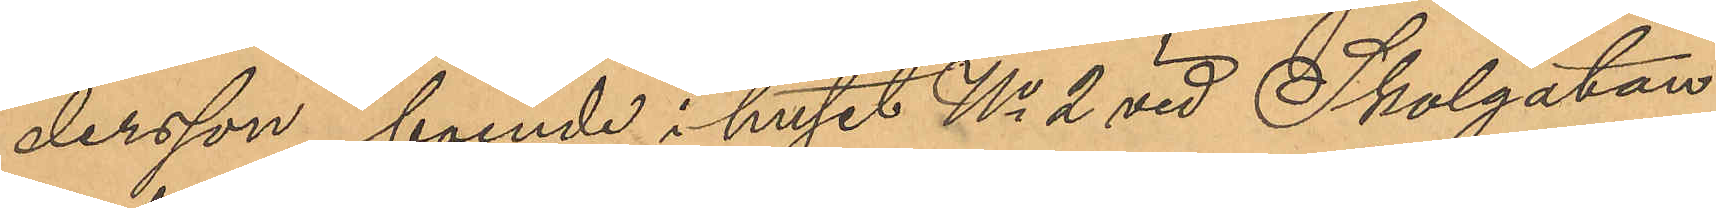dersson, boende i huset No 2 vid Skolgatan,
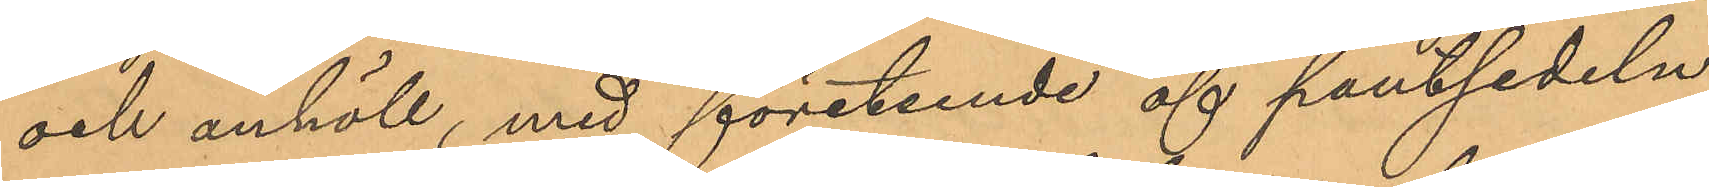och anhöll, med företeende af pantsedeln
